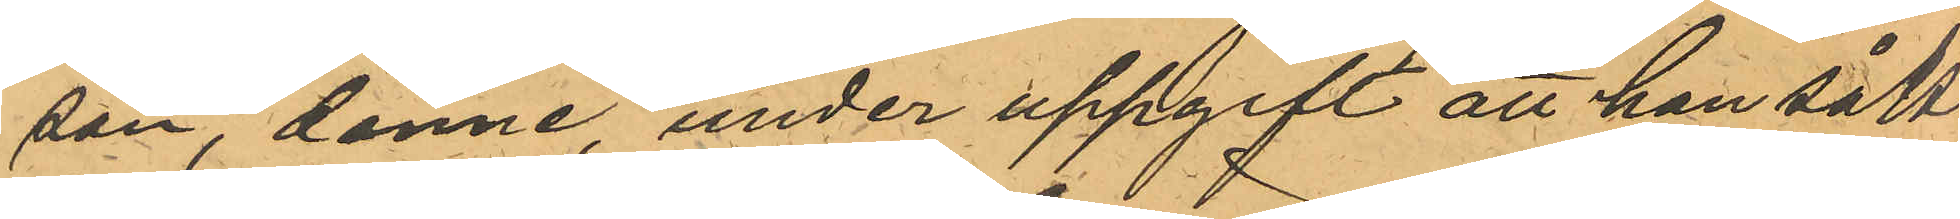son, denne under uppgift att han sålt
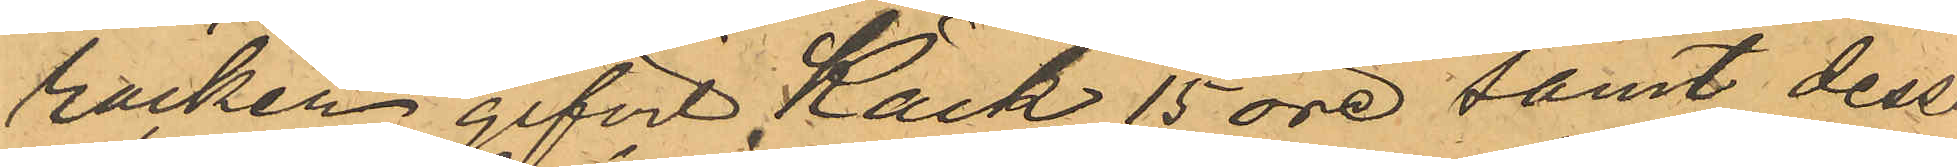rocken, gifvit Käck 15 öre samt dess¬
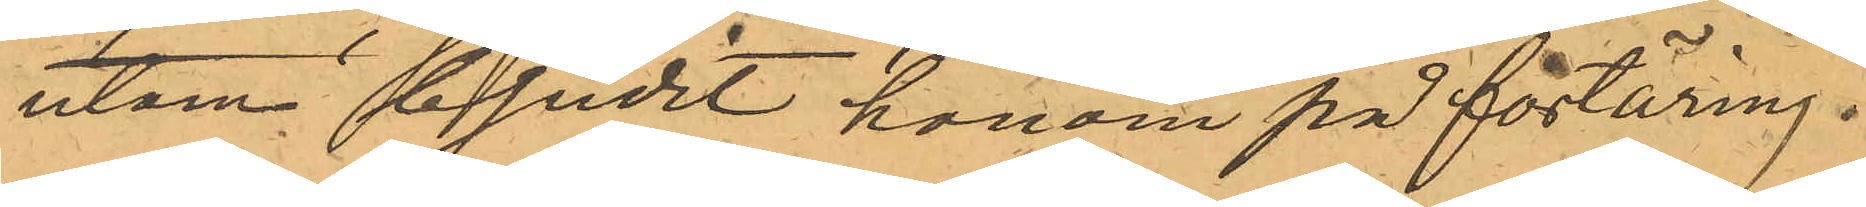utom bjudit honom på förtäring.
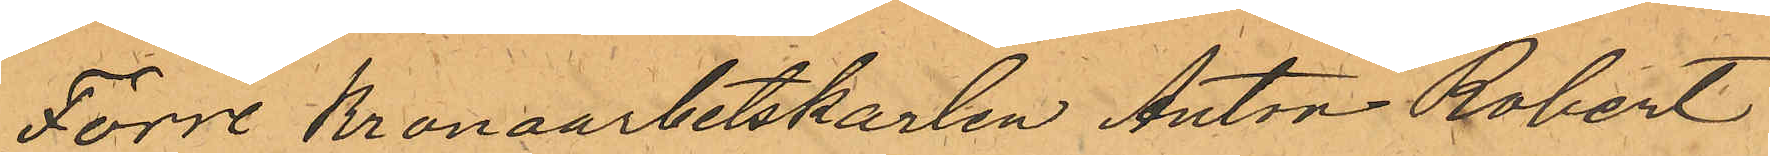Förre Kronoarbetskarlen Anton Robert
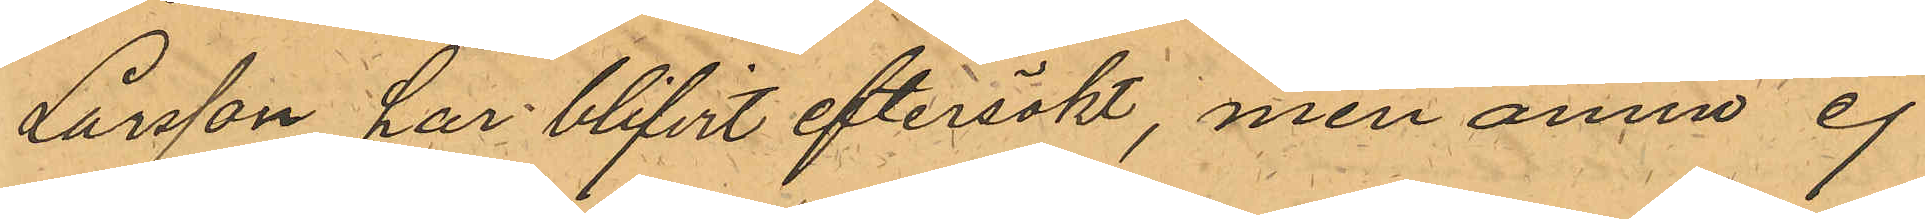Larsson har blifvit eftersökt, men ännu ej
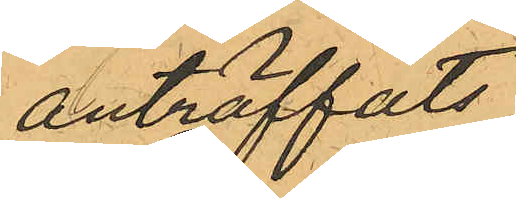anträffats.
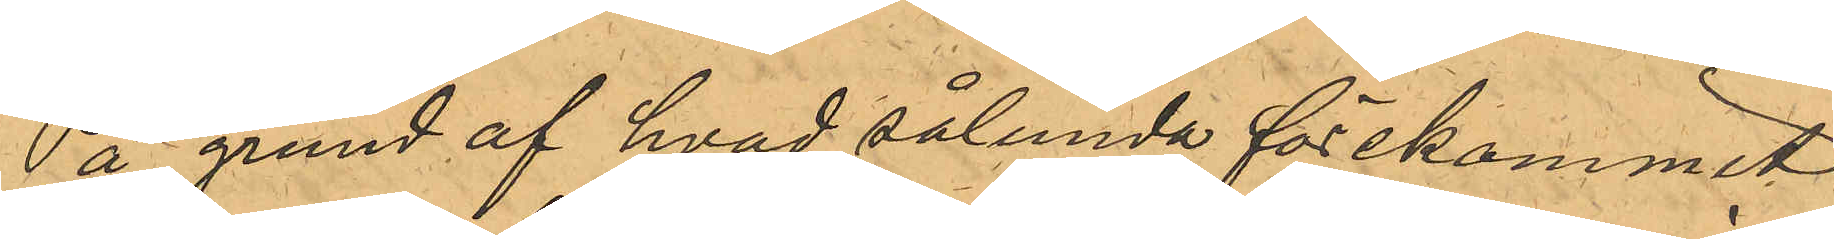På grund af hvad sålunda förekommit
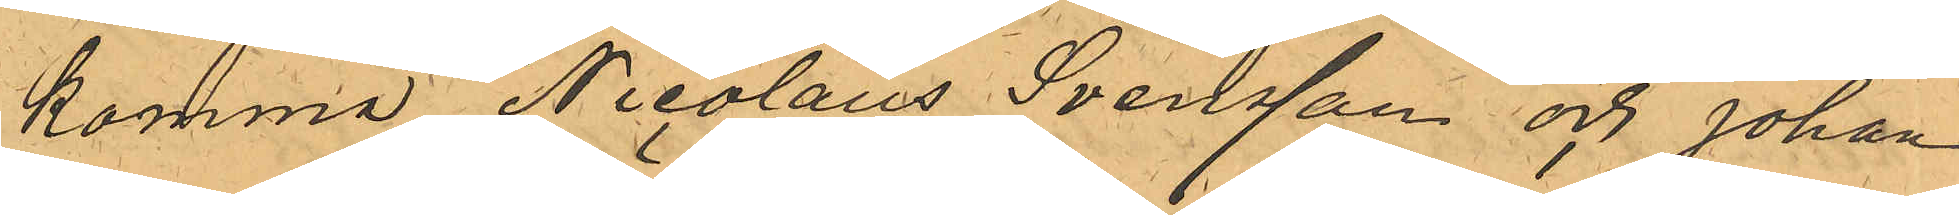komma Nicolaus Svensson och Johan
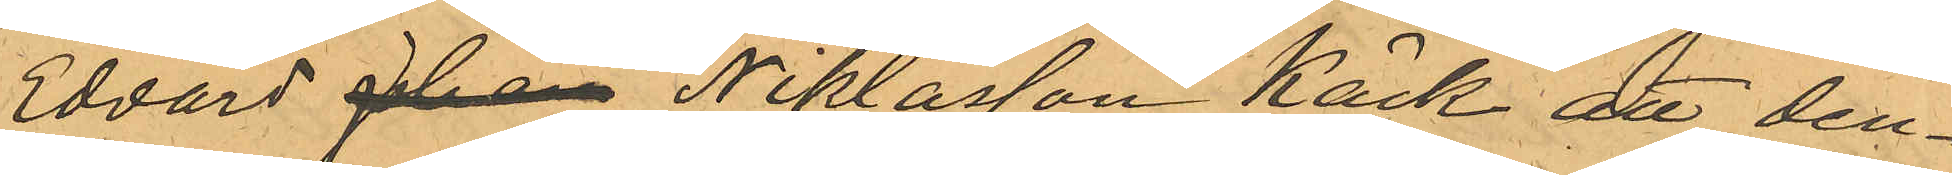Edvard Johan Niklasson Käck att den¬
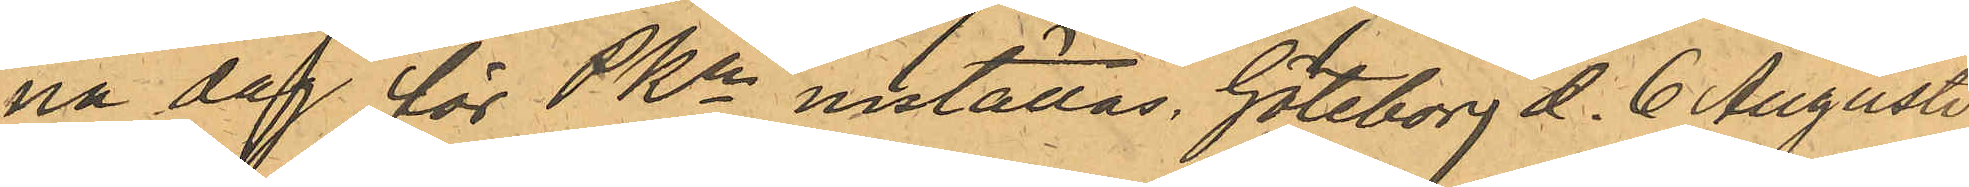na dag för PKn inställas. Göteborg d. 6 Augusti
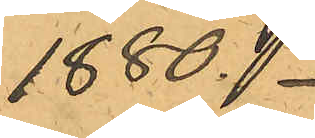1880.
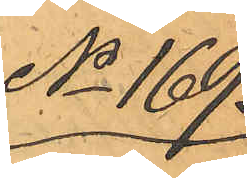No 169.
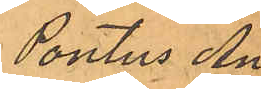Pontus An¬
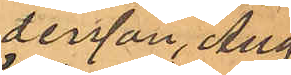dersson, Aug.
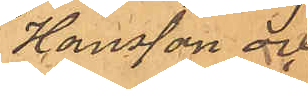Hansson och
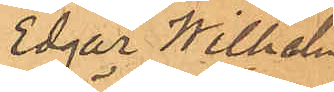Edgar Wilhelm
